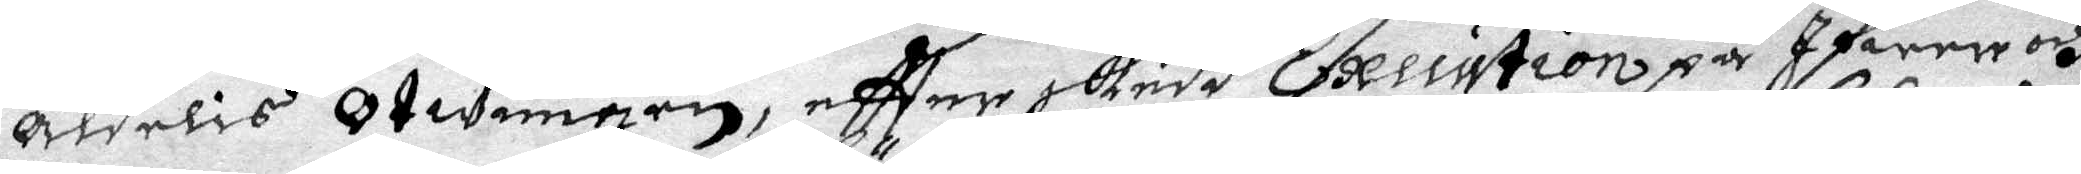aldeles Otwungen, eftter skuda Execution på Ifwer och
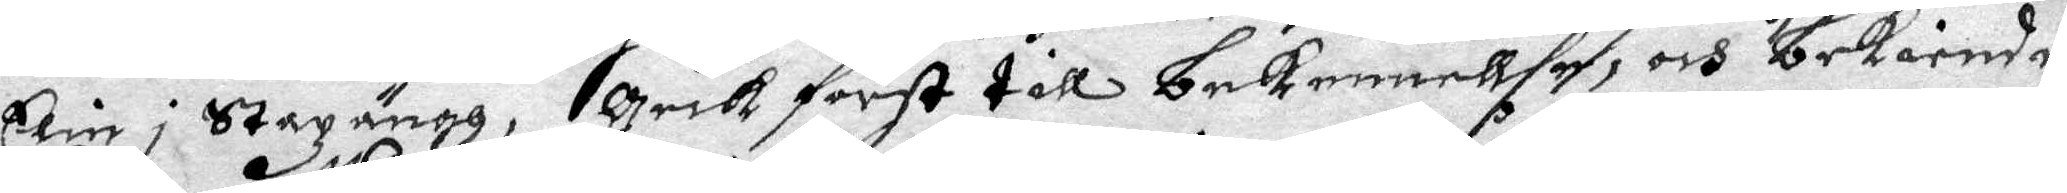Ein i Stazängh, Geck först till bekenellse, och bekiende
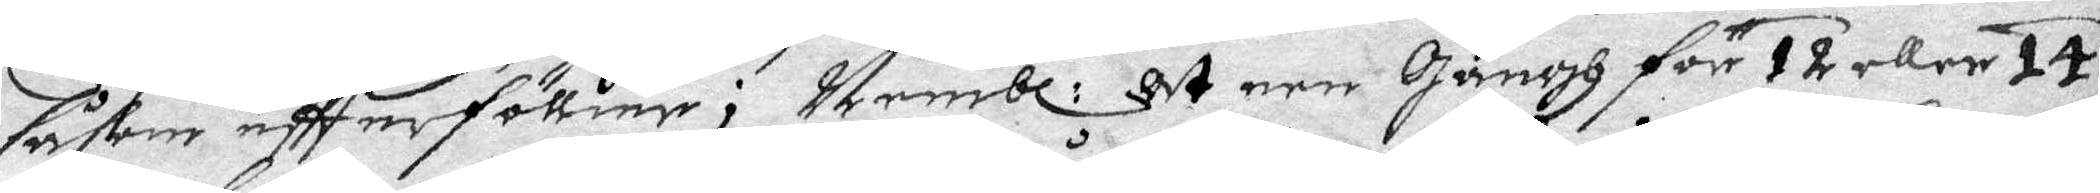såsom effterföllier; Nembl: at een Gångh för 12 eller 14 
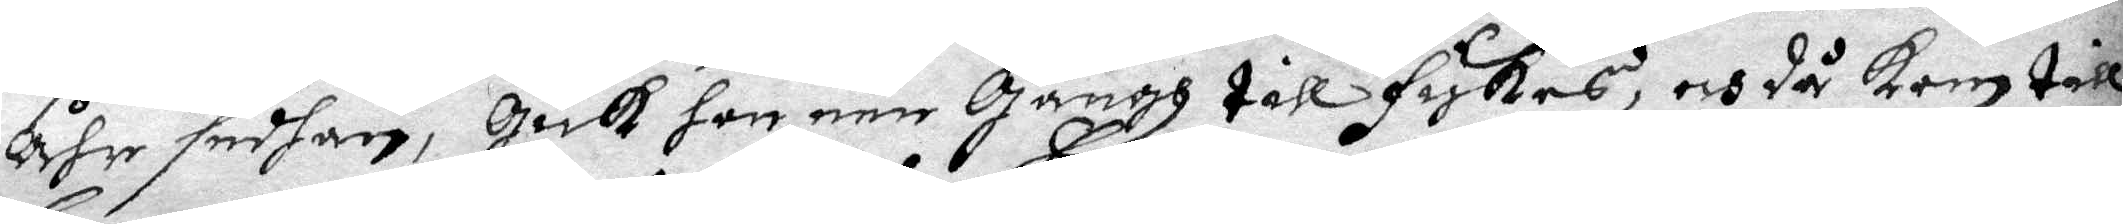åhr sedhan, gick hon een Gångh till fiskes, och då kom till
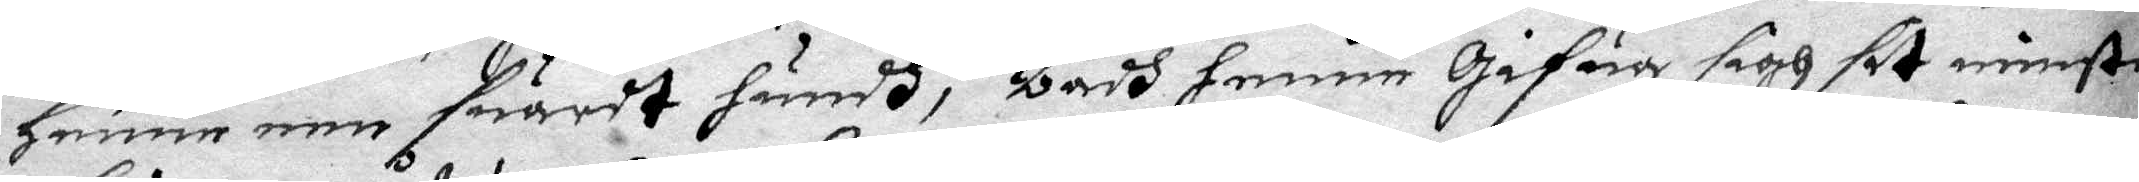Henne min swardt hundh, badh henne gifwa sigh sit minste
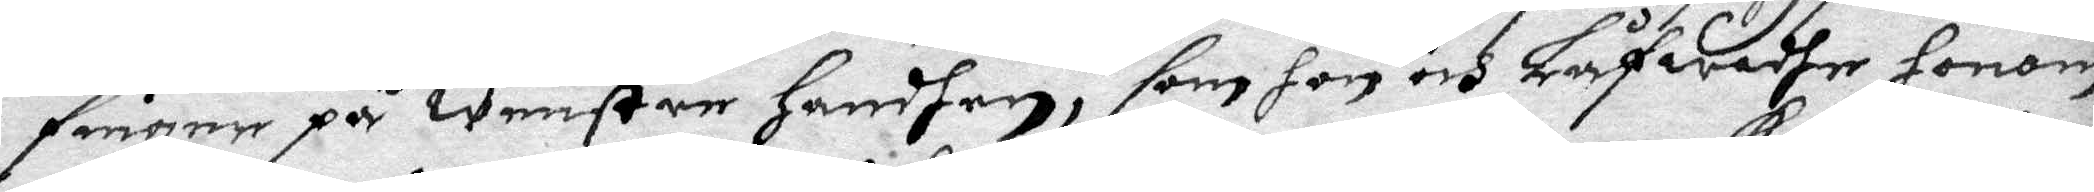finger på wenster handhen, som hon och Låfwadhe honom
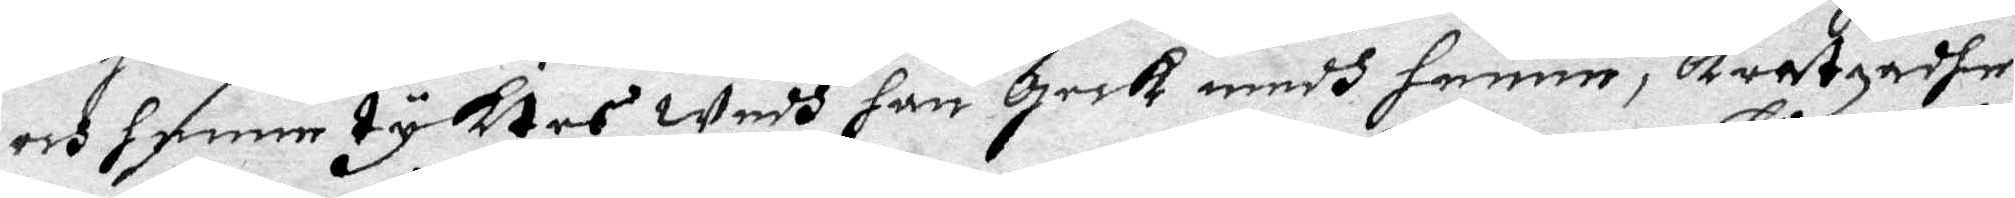och henne tyktes wedh han geck medh henne, Kratzadhe
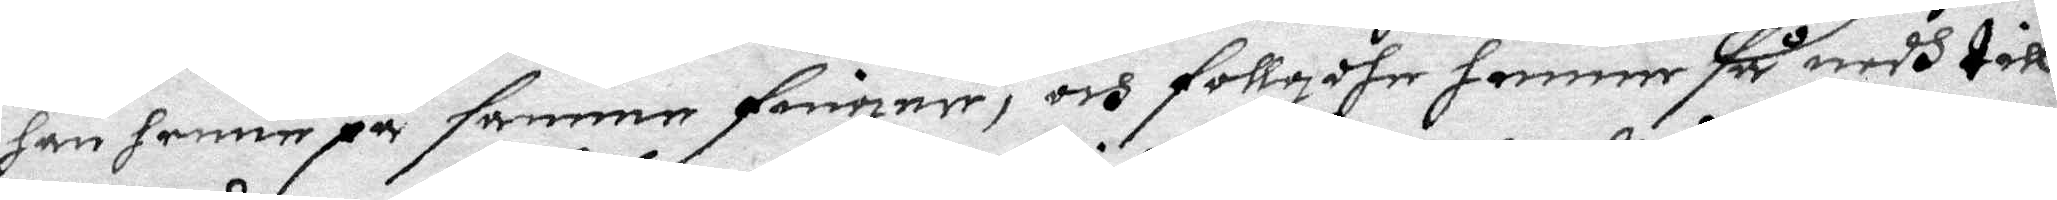han henne på samme finger, och follgdhe henner så medh till
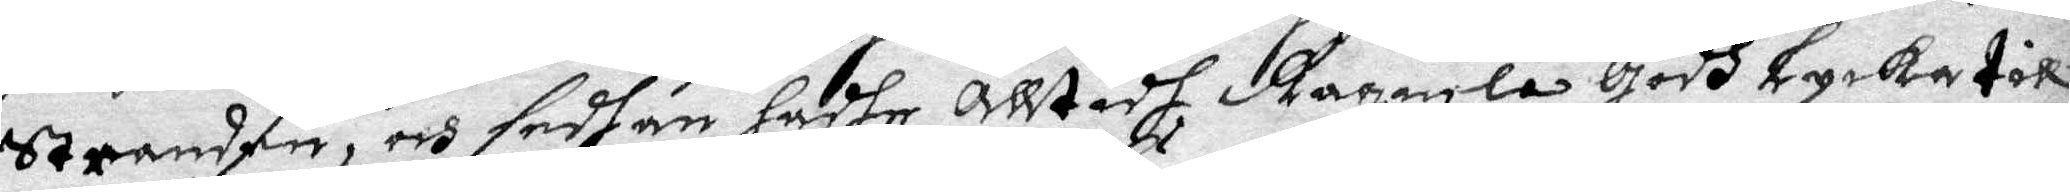Stranden, och sedhan hadhe alltidh Ragnela Godh Lycka till
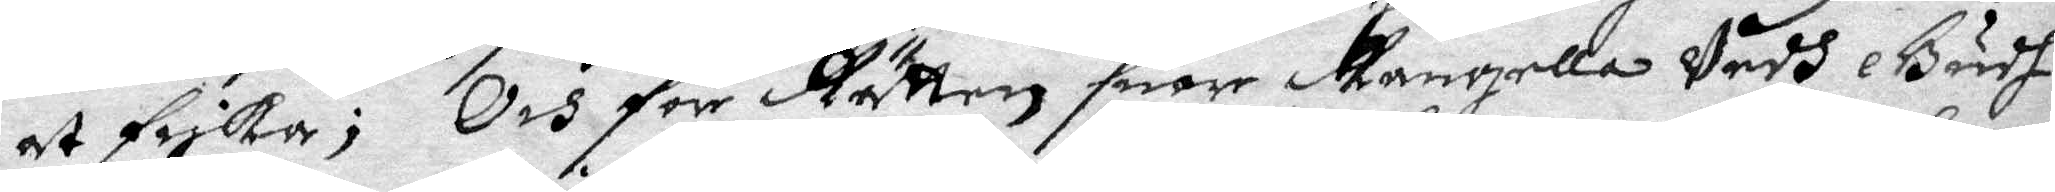at fiska; Och för Rätten suor Rangella Vedh Gudh
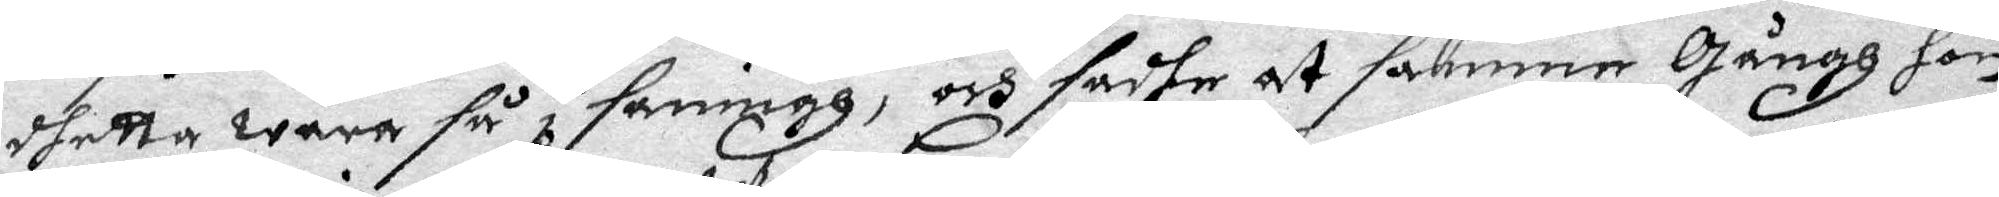dhetta wara så i sanningh, och sadhe at samme gångh hon
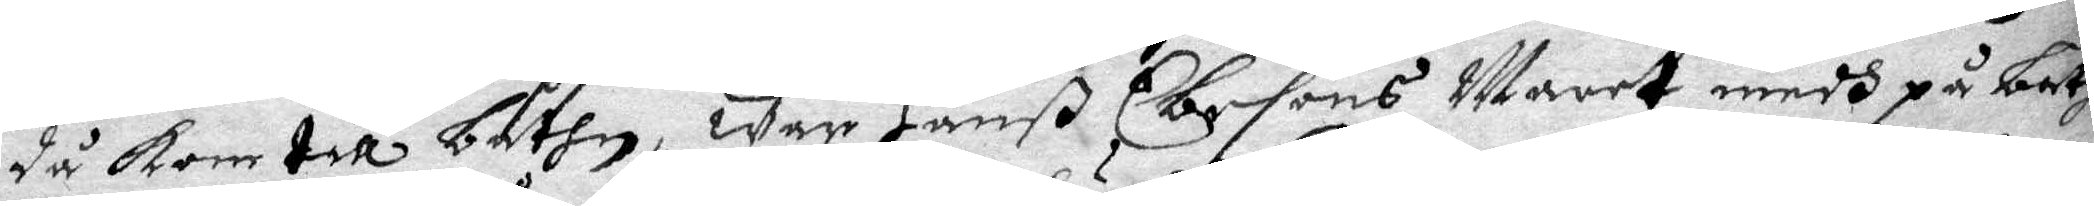då Kom till båthn, war Hanß Ebesons Waret medh på båth
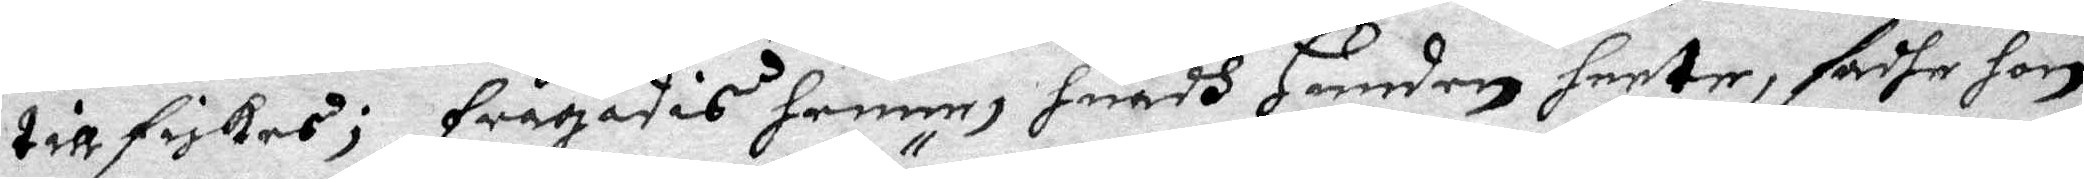till fiskes; frågades henne, huadh Hunden heeter, sadhe hon
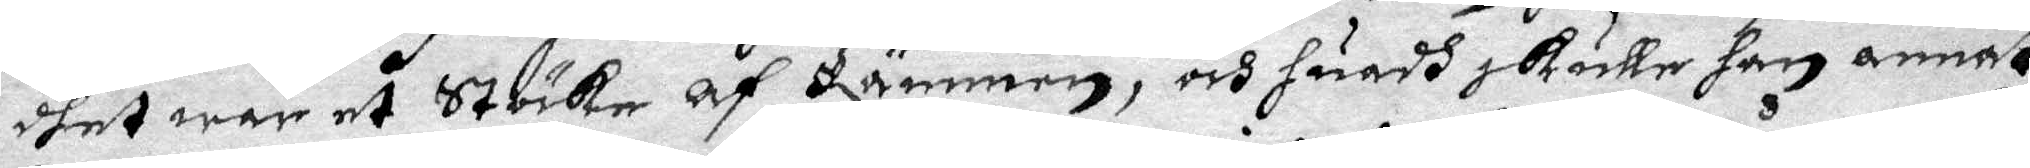dhet ware et Stöcke af Rämmen, och huadh skulle han annat
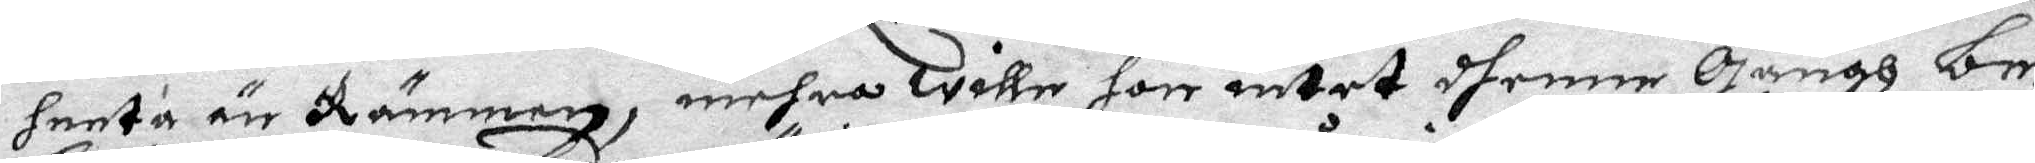heeta än Rämmen, mehra wille hor intet dhenne Gångh be¬
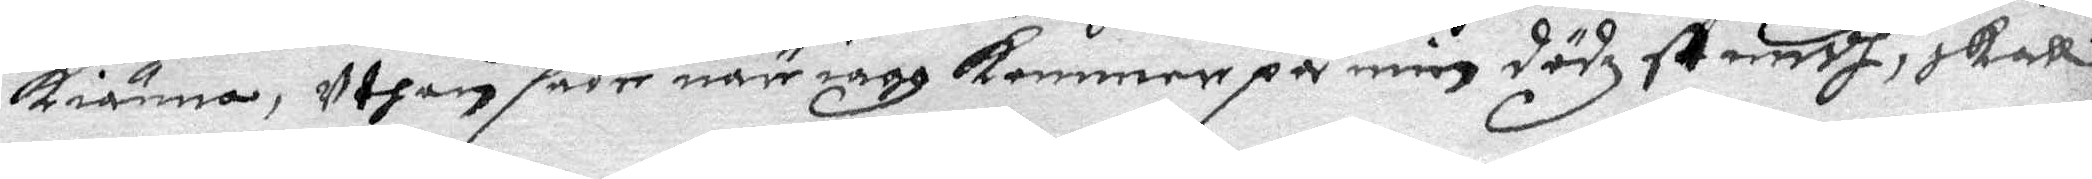kiänna, uthan sade när iagh kommer på min dödzstundh, skall
